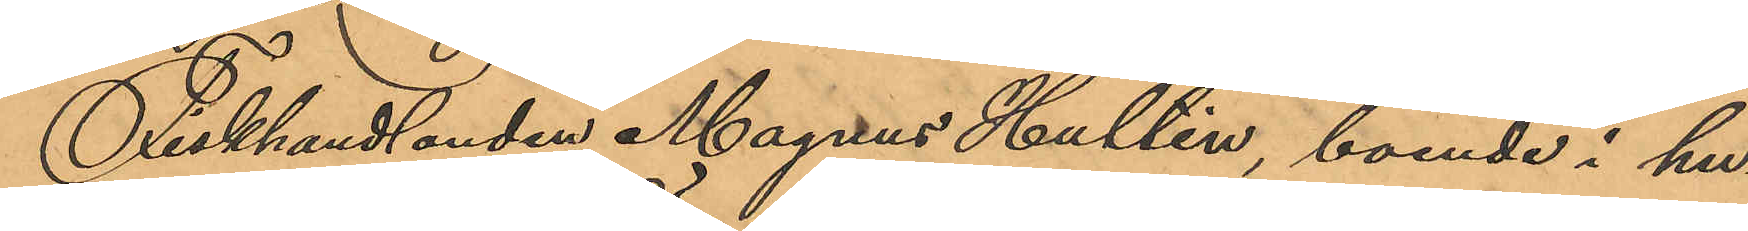Fiskhandlanden Magnus Hultén, boende i hu¬
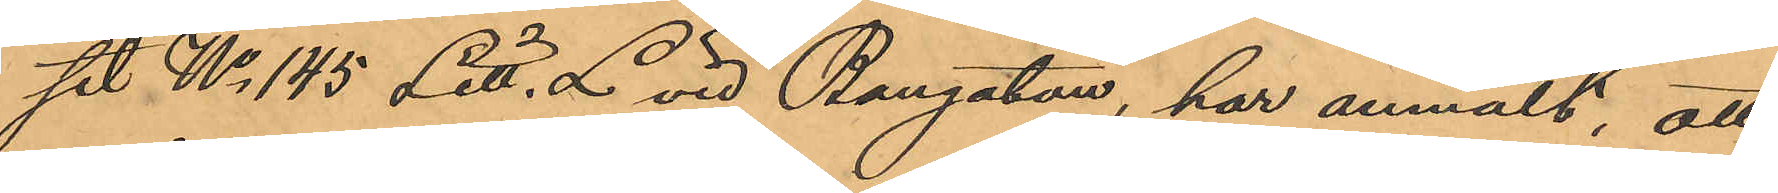set No 145 Litt. L. vid Bangatan, har anmält, att
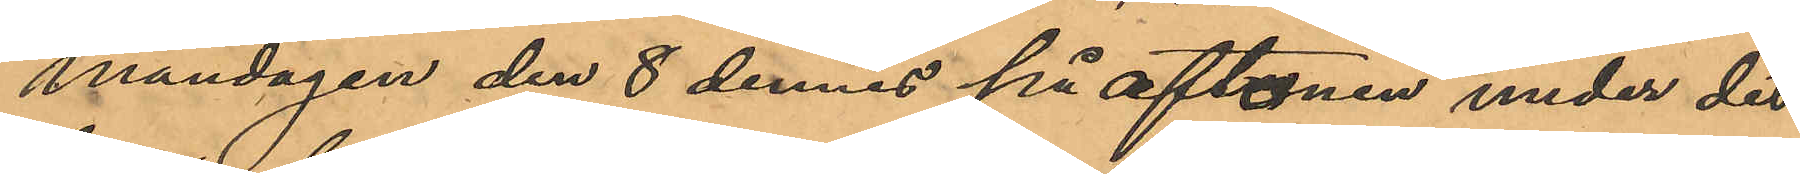måndagen den 8 dennes på aftonen under det
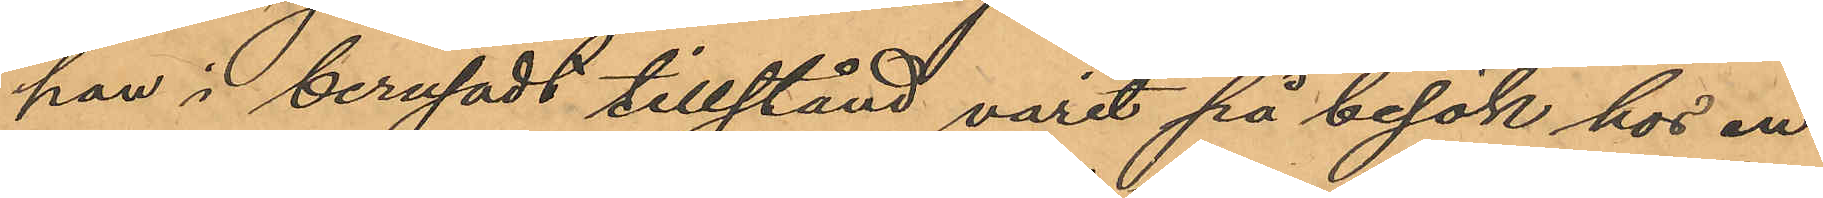han i berusadt tillstånd varit på besök hos en
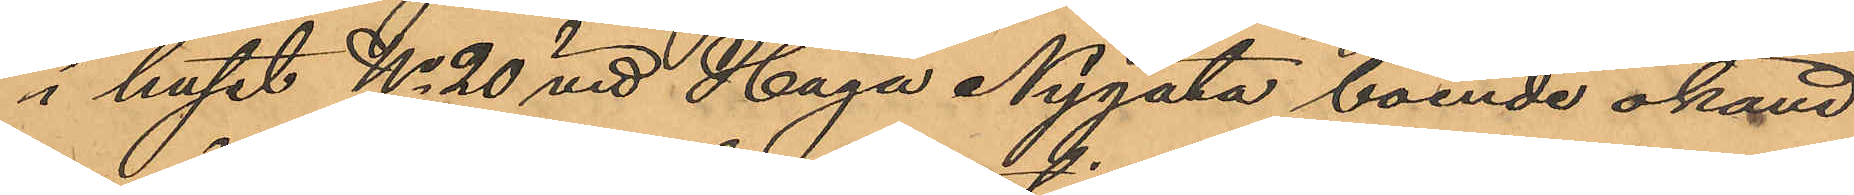i huset No 20 vid Haga Nygata boende okänd
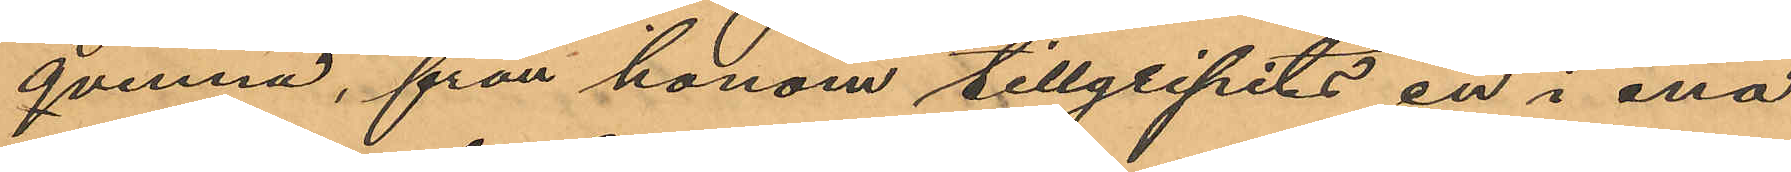qvinna, från honom tillgripits en i ena
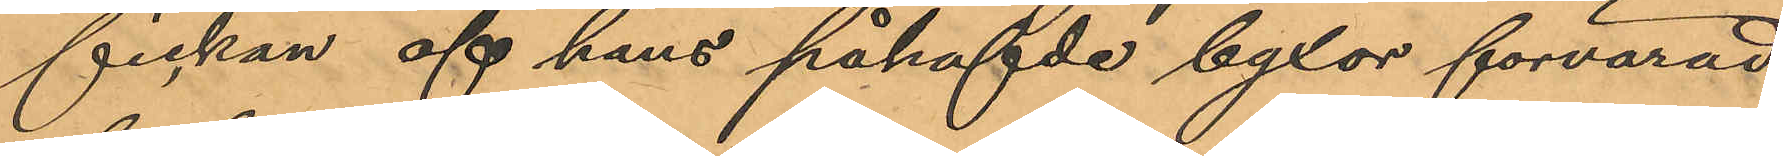fickan af hans påhafvde byxor förvarad
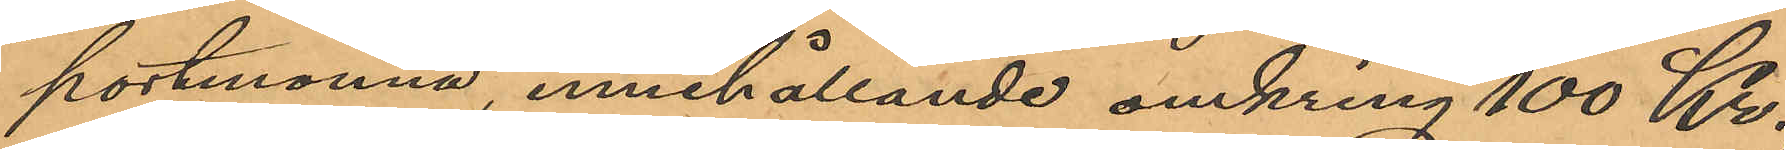portmonnä, innehållande omkring 100 Kr,
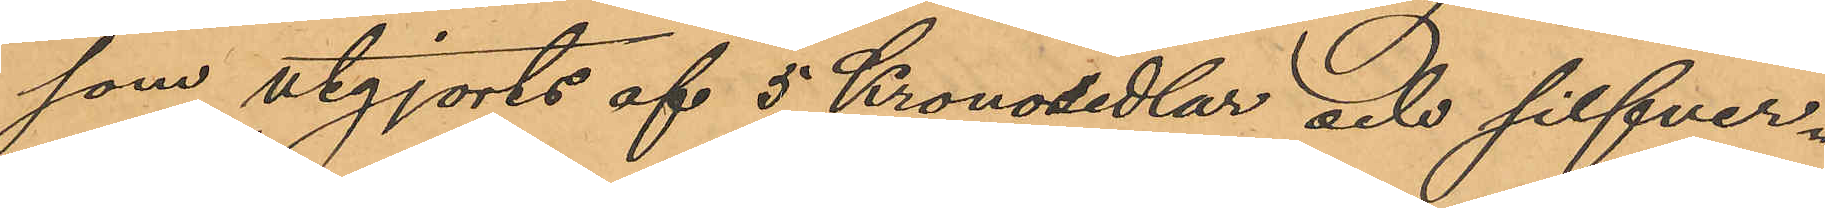som utgjorts af 5 Kronosedlar och silfver¬
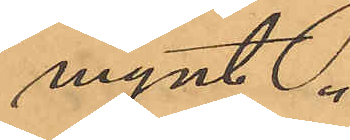mynt.
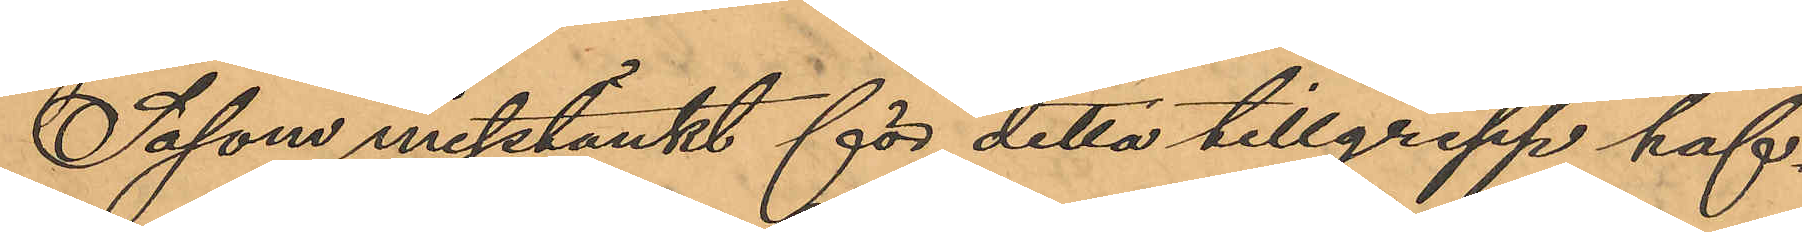Såsom misstänkt för detta tillgrepp haf¬
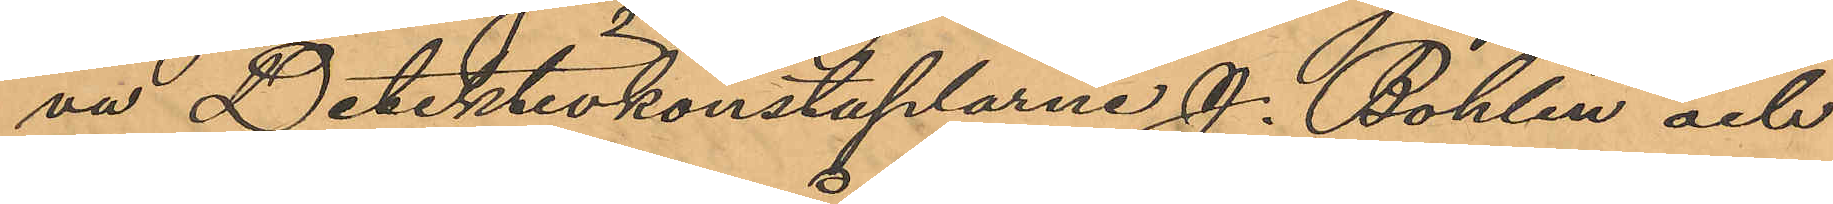va Detektivkonstaplarne J. Bohlin och
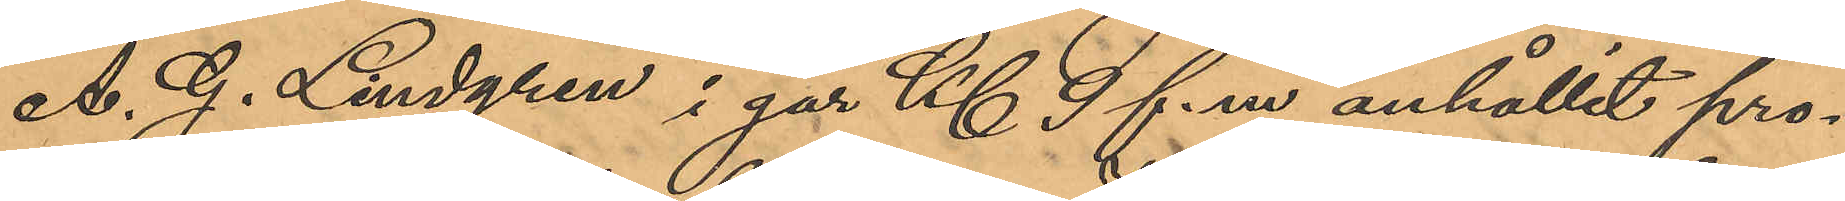A. G. Lindgren i går Kl 9 f.m. anhållit pro¬
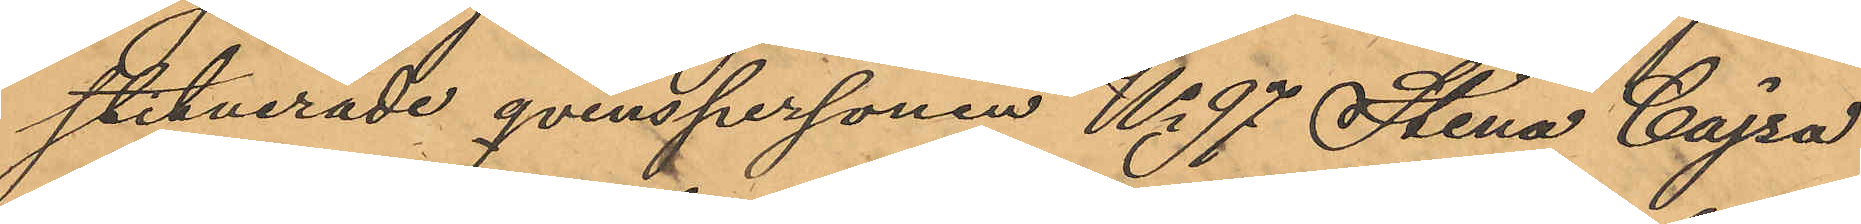stituerade qvinspersonen No 97 Stina Cajsa
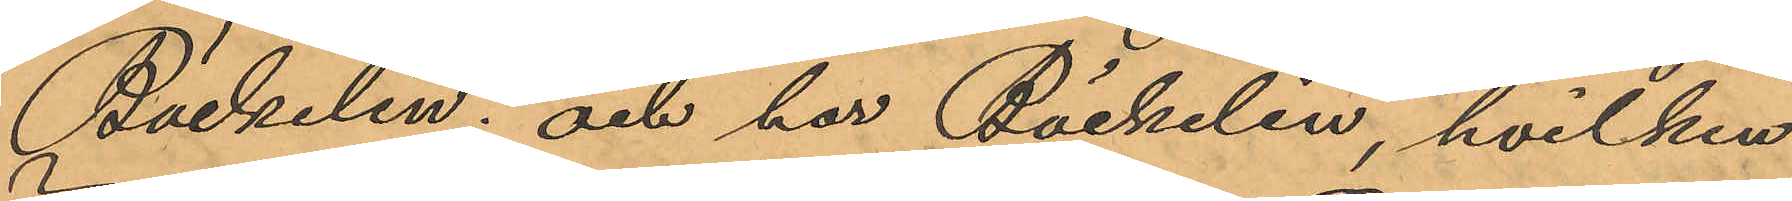Bäckelin; och har Bäckelin, hvilken
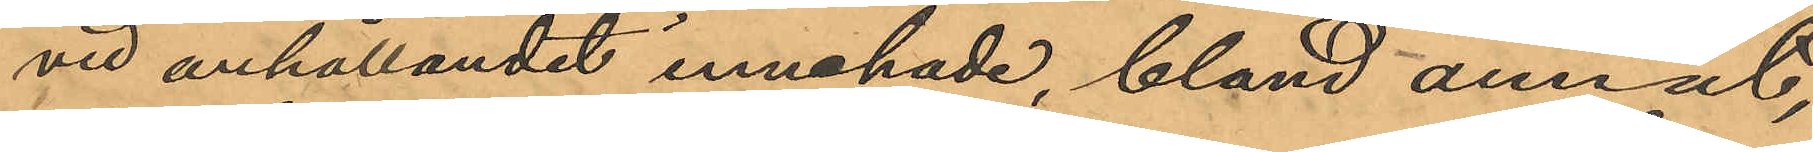vid anhållandet innehade, bland annat
